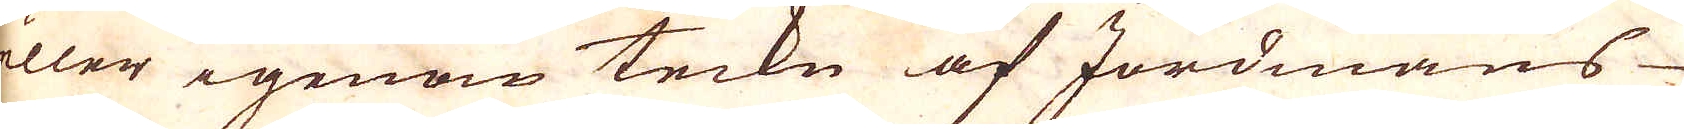eller igenom teckn af Jordmåns
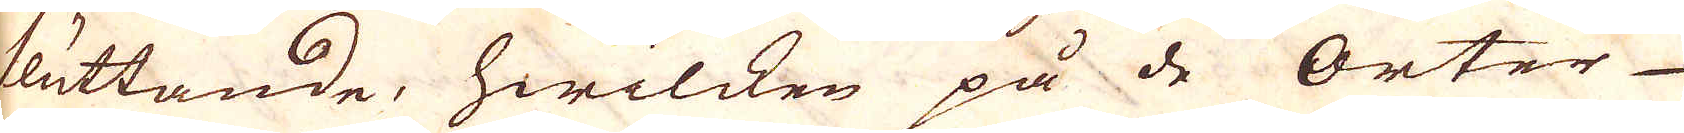sluttande, hwilcken på de Orter
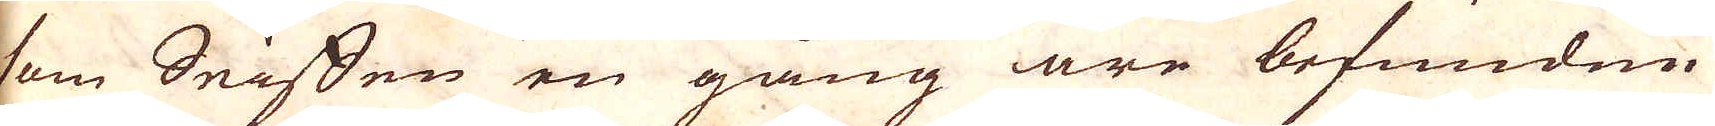som Seiffen en gång äre befunden
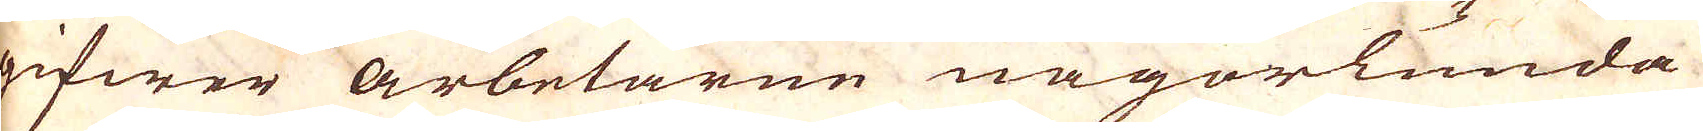gifwer arbetarne någorlunda
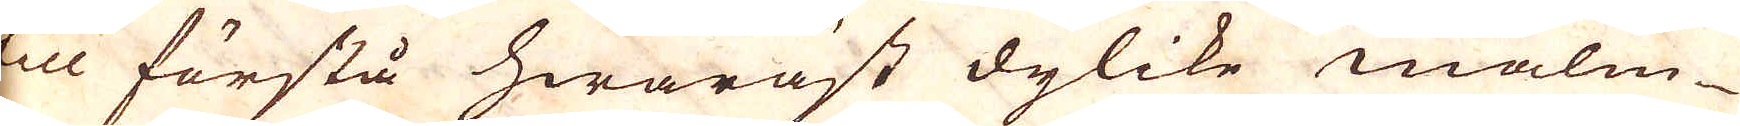till förstå hwaräst dylike malm-
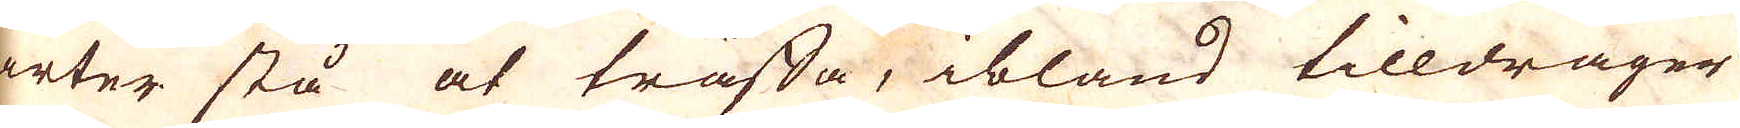arter stå at träffa, ibland tilldrager
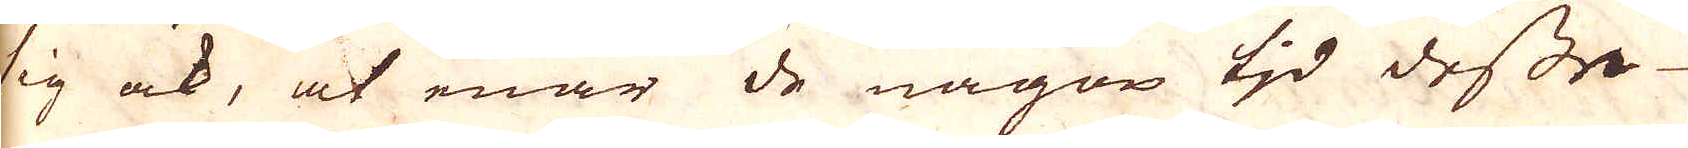sig ock, at enär de någon tid dessa
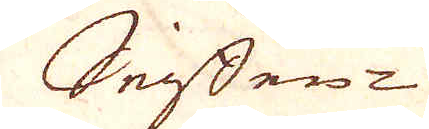Seiffen-
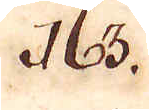163.
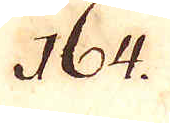164.
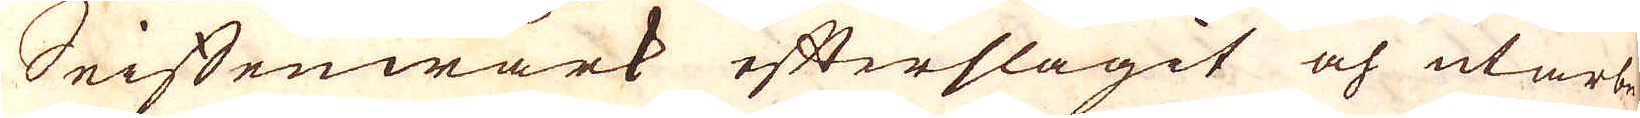Seiffenwärk efterslagit och utarbe-
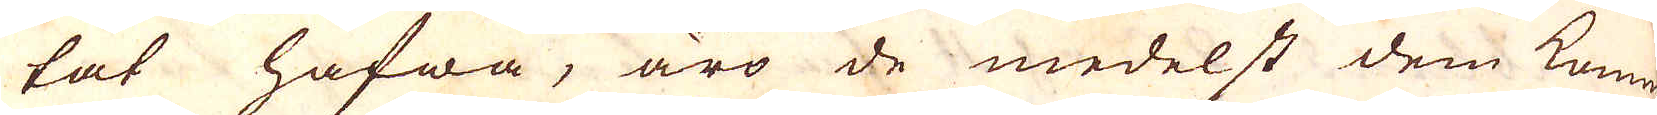tat hafwa, äro de medelst dem komna
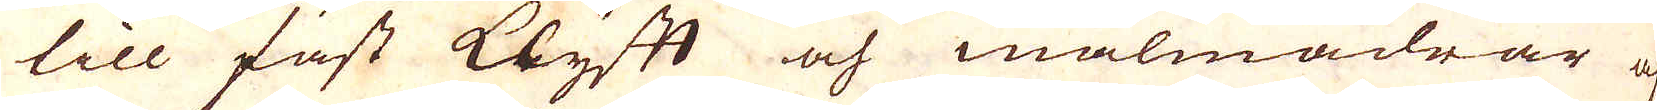till fast klyft och malmådrar af
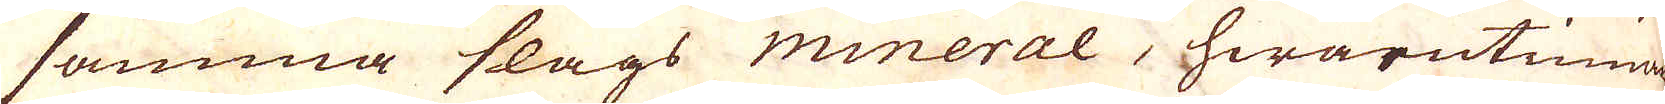samma slags mineral, hwarutinnan
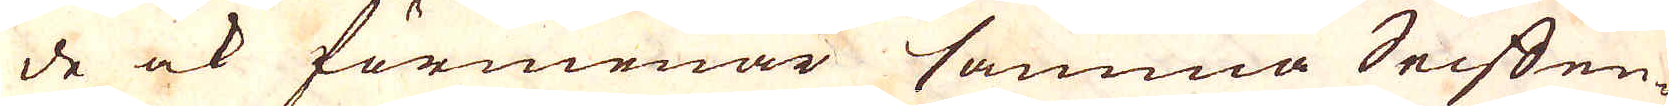de ock förmenar samma Seiffen-
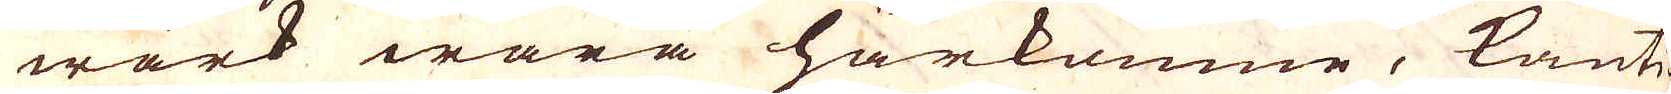wärk wara härkomne, kanti-
